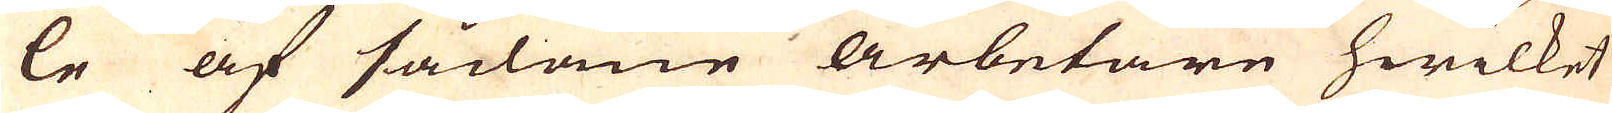le af sådane arbetare hwilket
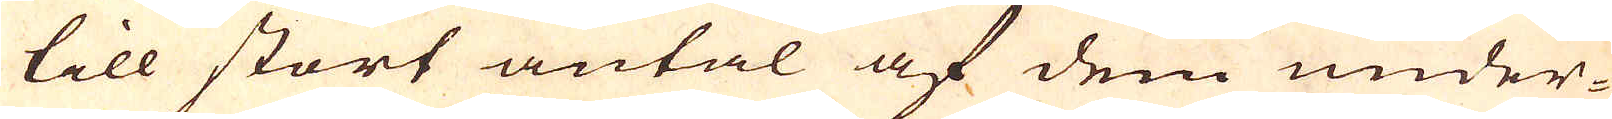till stort antal af dem under-
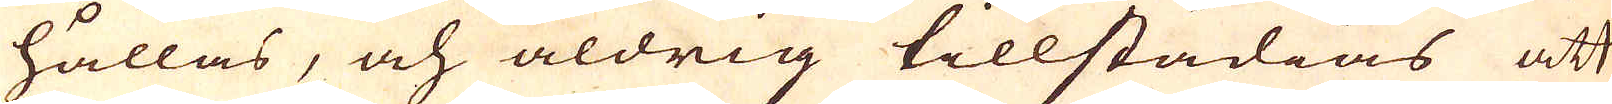hållas, och aldrig tillstädias att
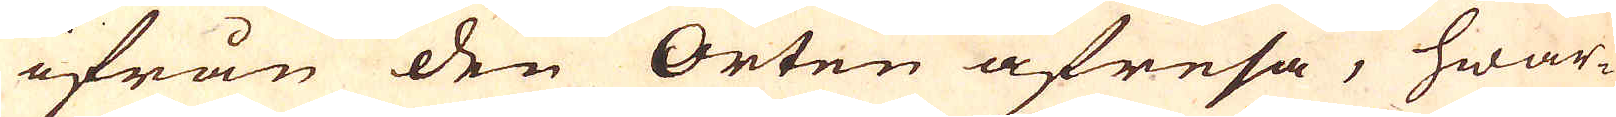ifrån den Orten afresa, hwar-
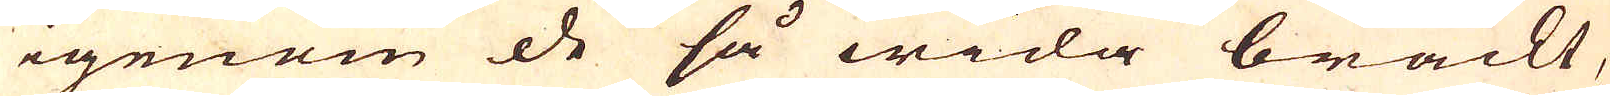igenom de så wida brackt,
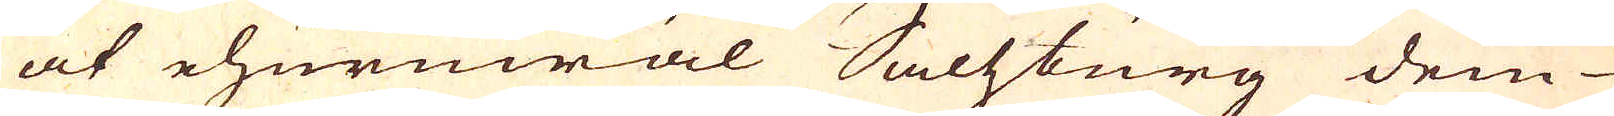at ehuruwäl Saltzburg dem
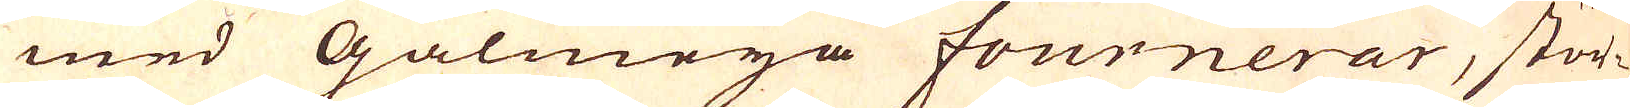med Galmeja fournerar, stör-
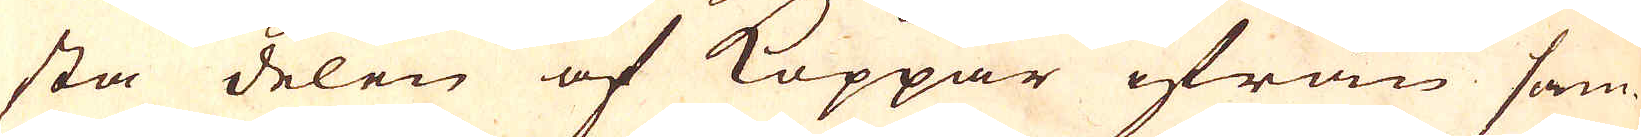sta delen af Koppar ifrån sam-
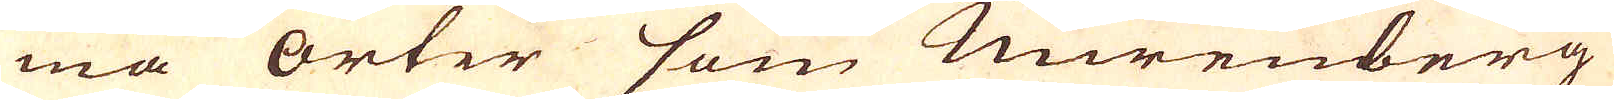ma orter som Nürenberg
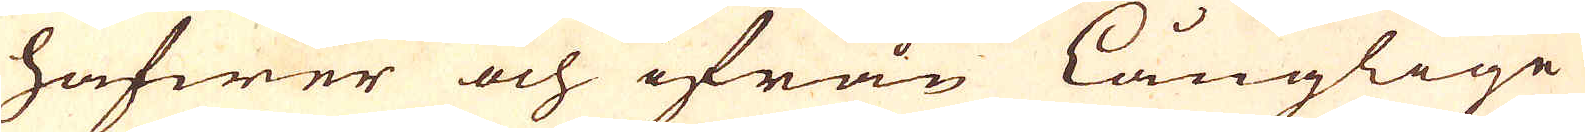hafwer och ifrån långlige
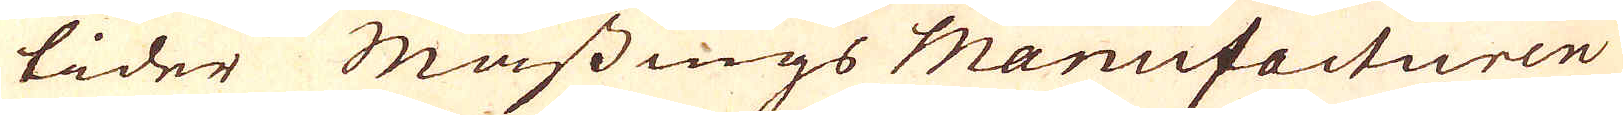tider Mässings Manufacturen
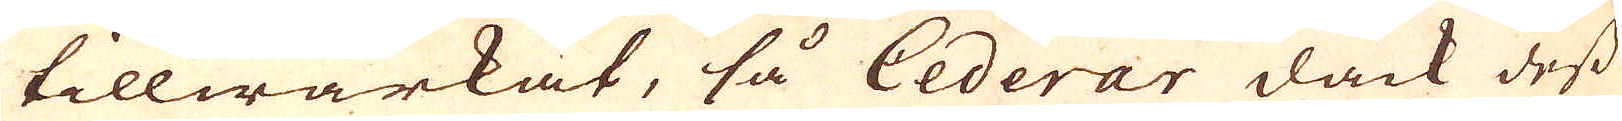tillwärkat, så Cederar dåck dess
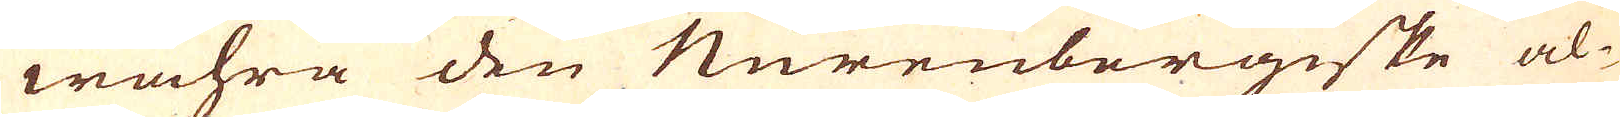wahra den Nurenbergiske al-
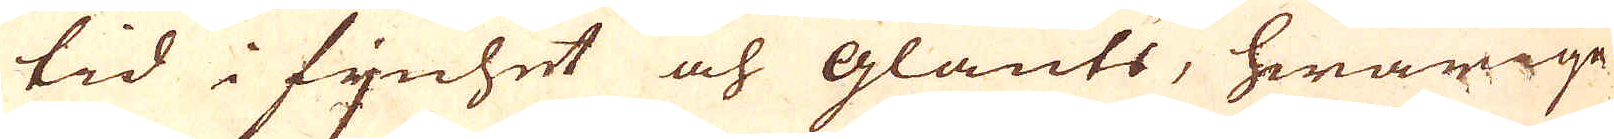tid i fijnhet och glants, hwarige-
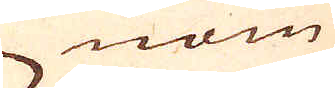nom
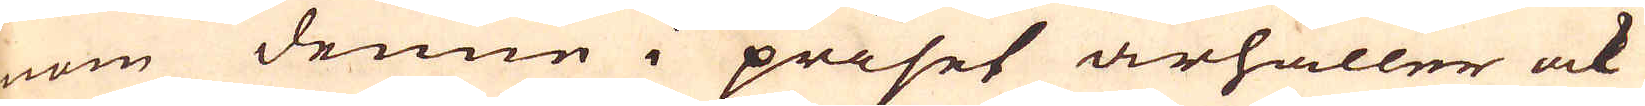nom denne i priset ärhåller ock
